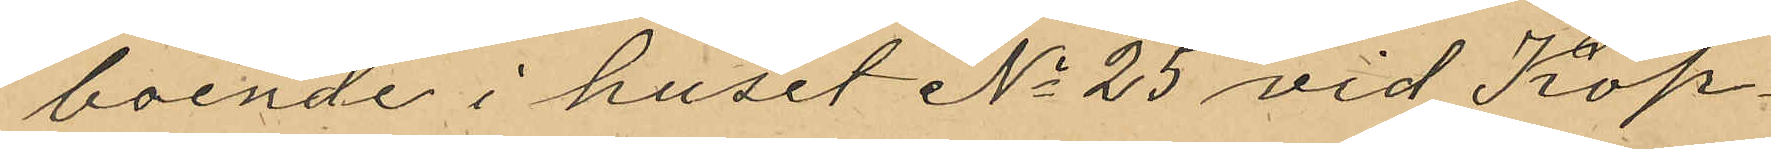boende i huset No 25 vid Köp¬
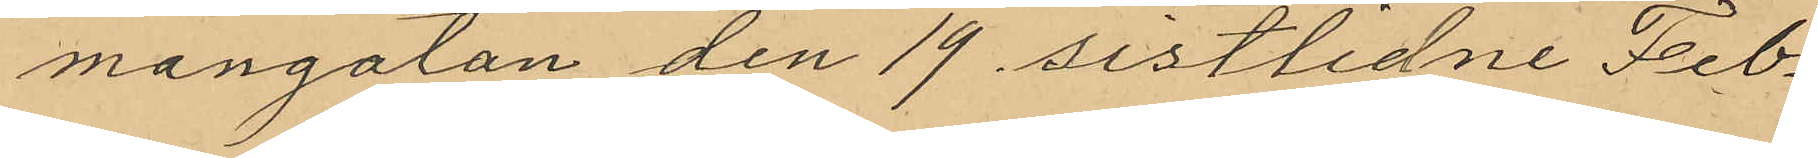mangatan den 19 sistlidne Feb¬
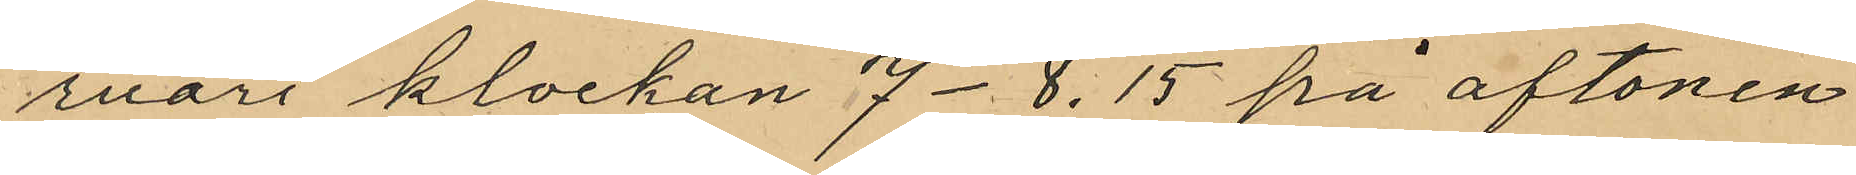ruari klockan 7-8.15 på aftonen
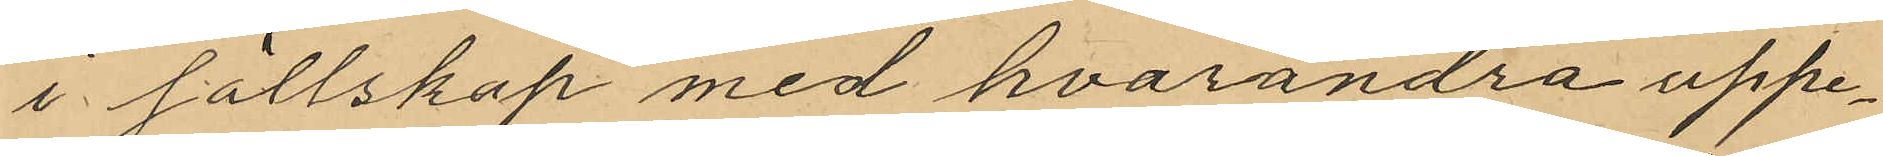i sällskap med hvarandra uppe¬
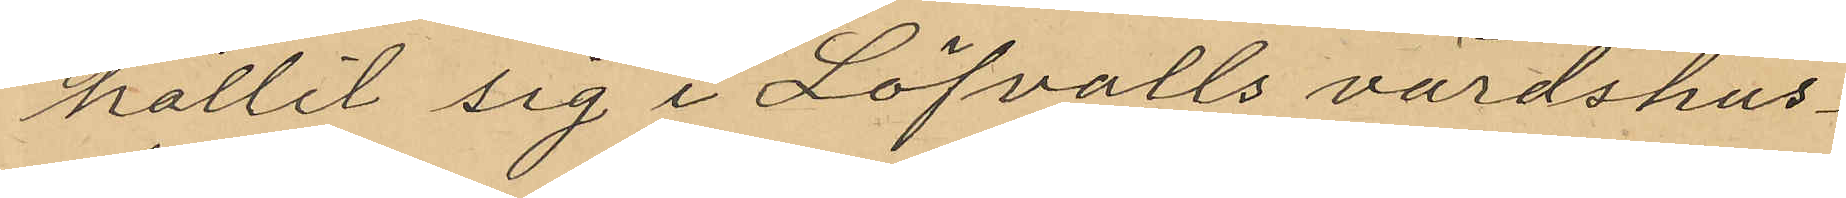hållit sig i Löfvalls värdshus¬
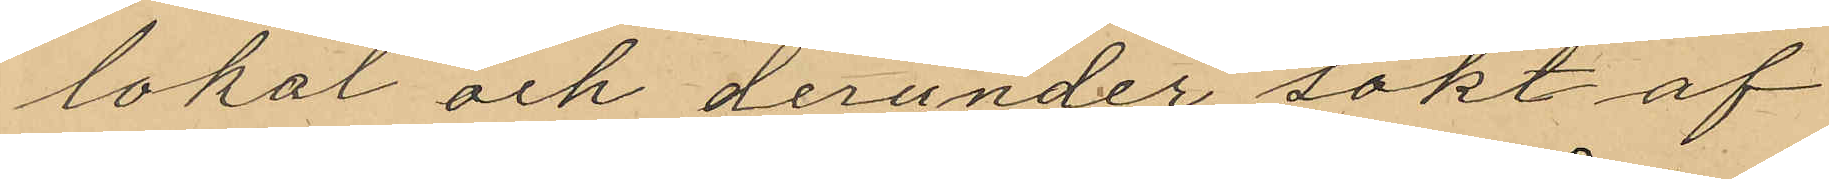lokal och derunder sökt af
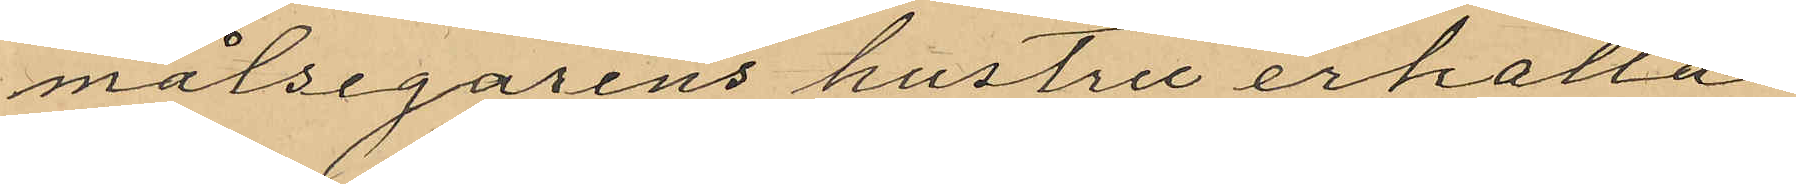målsegarens hustru erhålla
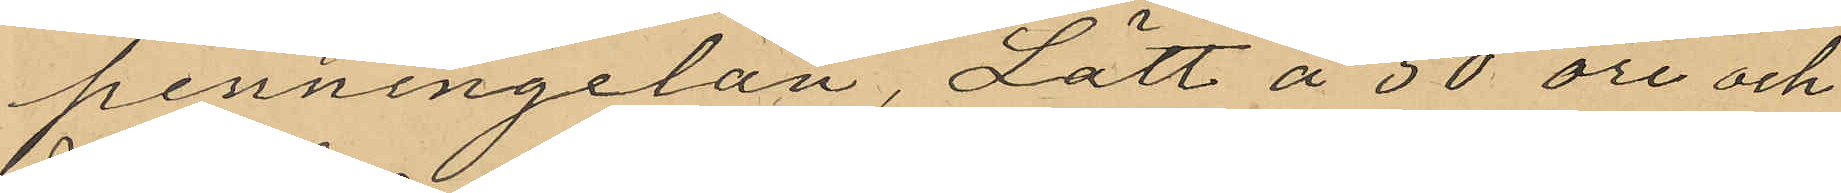penningelån, Lätt å 50 öre och
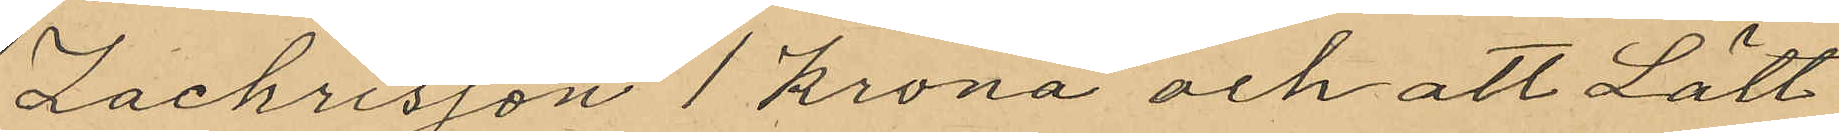Zachrisson 1 krona och att Lätt
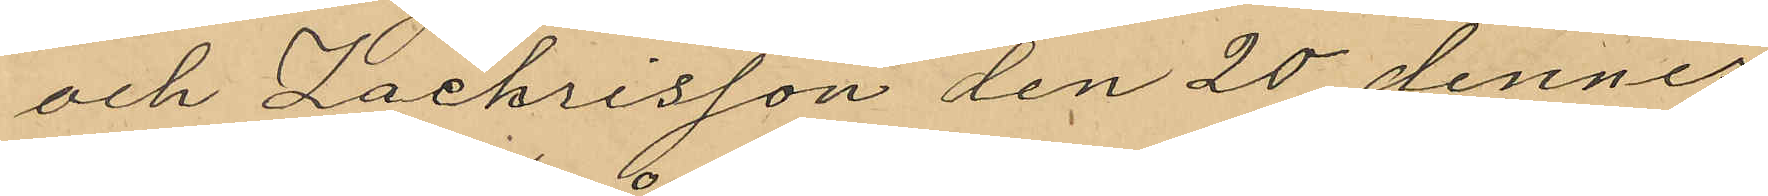och Zachrisson den 20 dennes
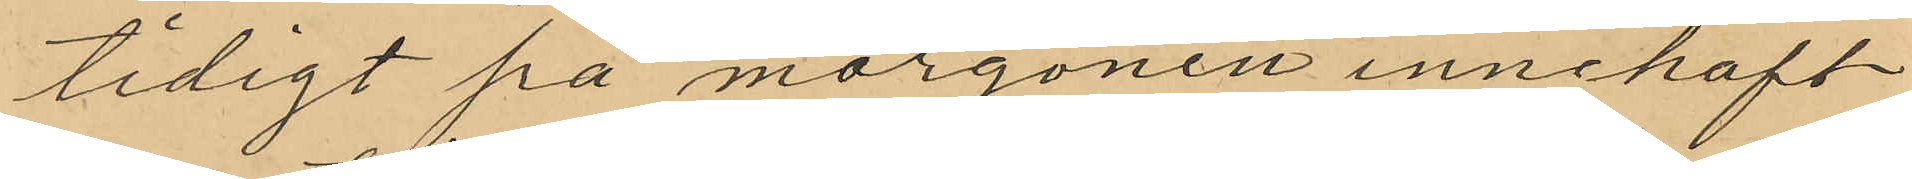tidigt på morgonen innehaft
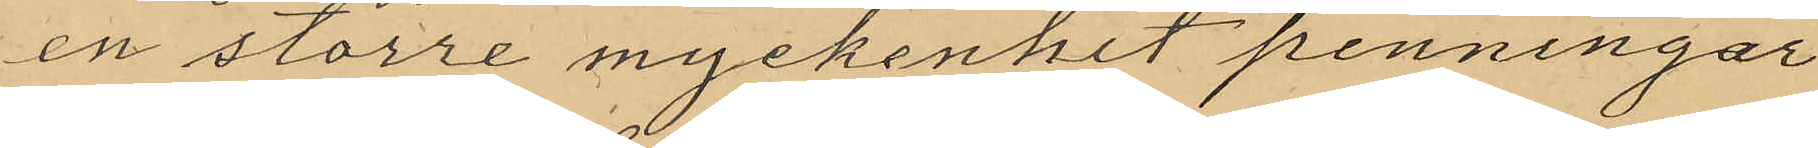en större myckenhet penningar
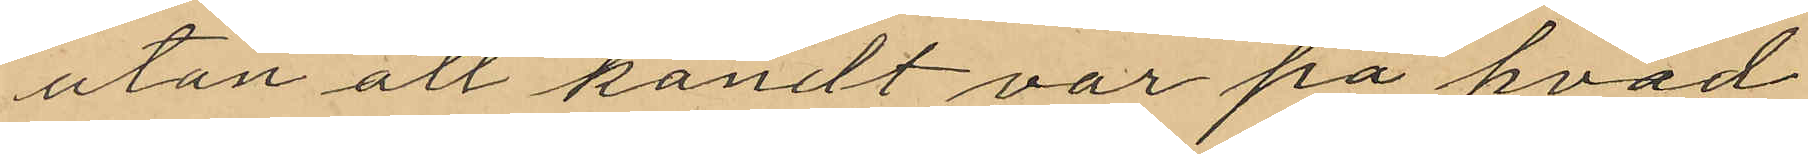utan att kändt var på hvad
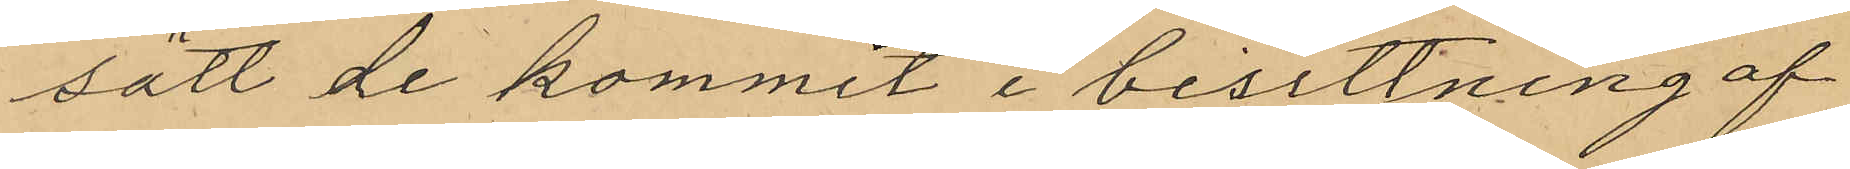sätt de kommit i besittning af
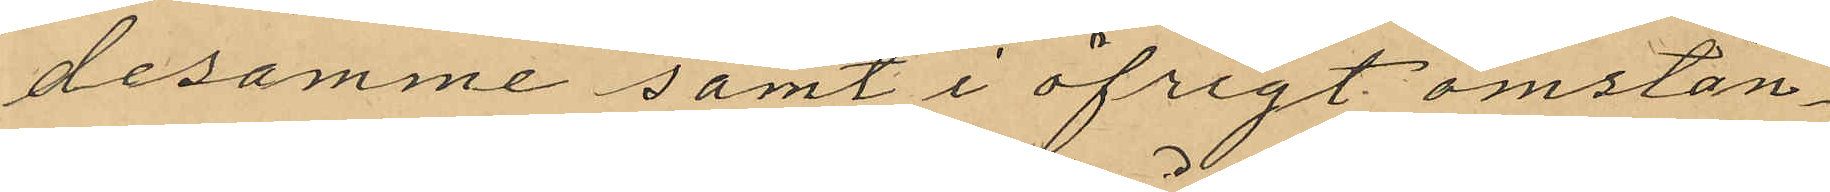desamme samt i öfrigt omstän¬
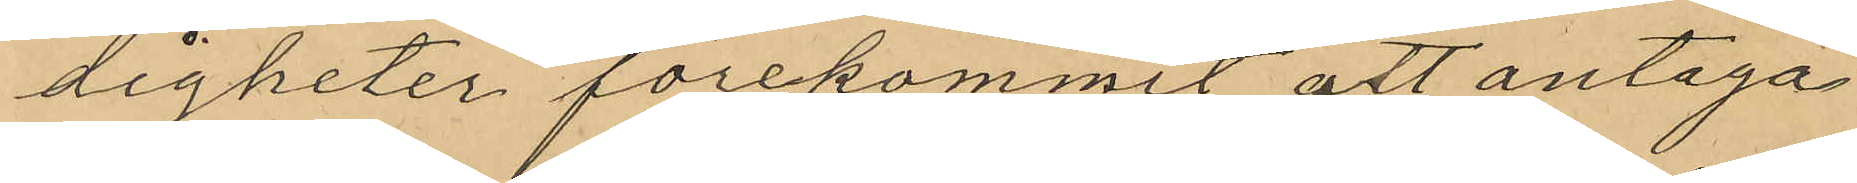digheter förekommit att antaga
